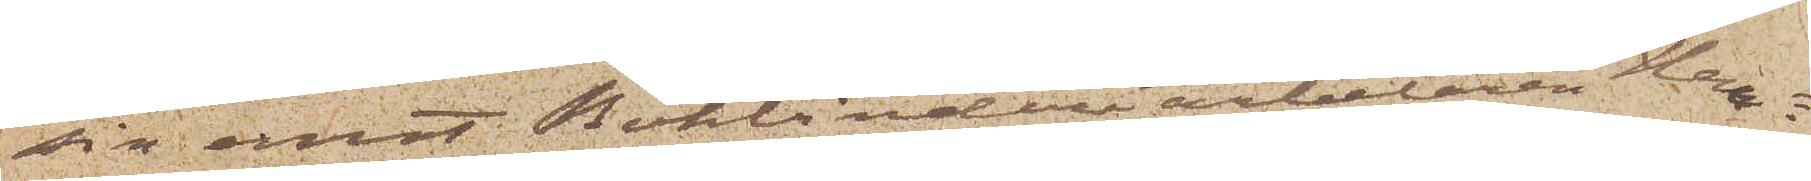sin emot Bokbinderiarbetaren Hen¬
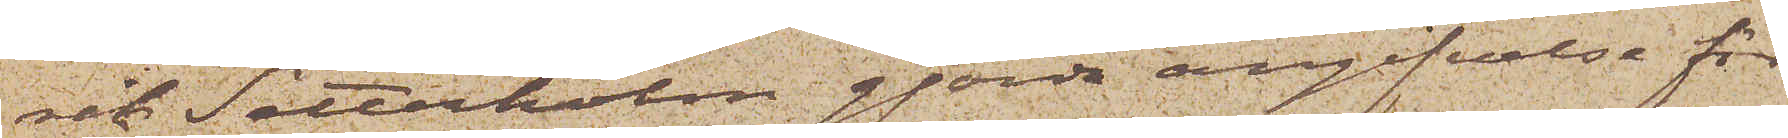rik Setterholm gjorda angifvelse för
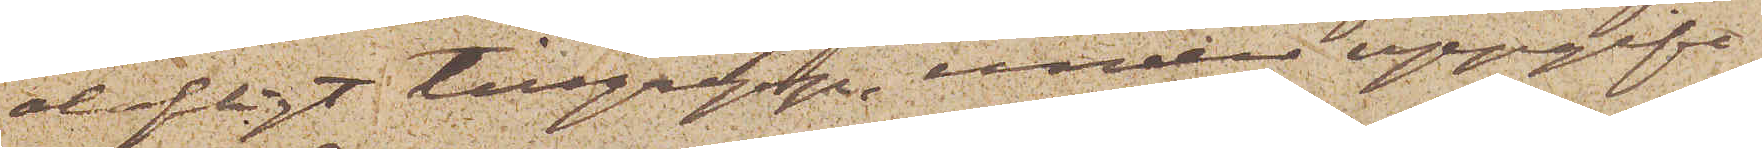olofligt tillgrepp, under uppgift
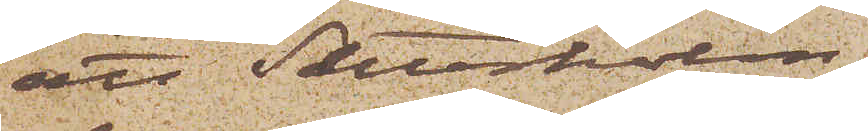att Setterholm
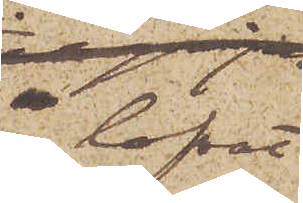lofvat
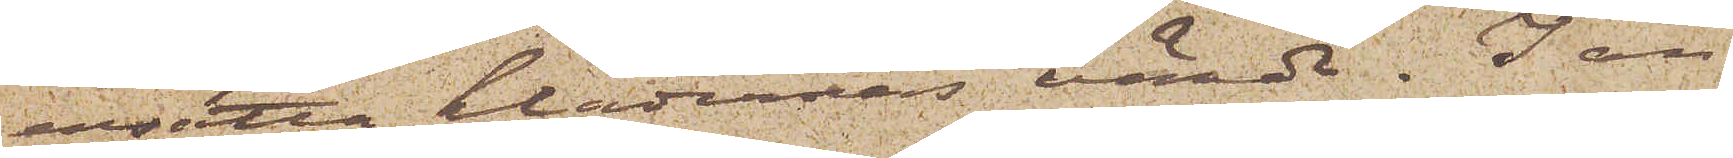ersätta klädernas värde. I an¬
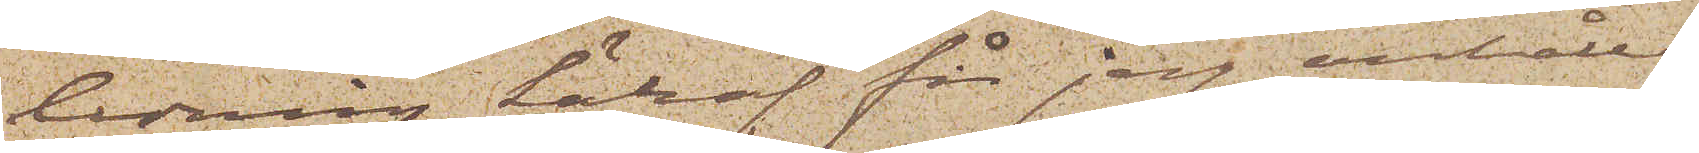ledning häraf får jag anhålla
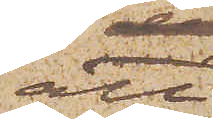att
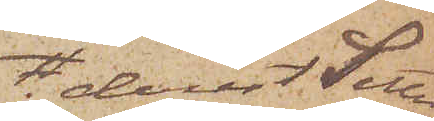derest Setter¬
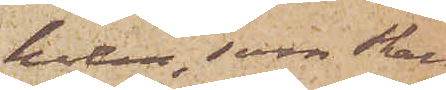holm, som skall
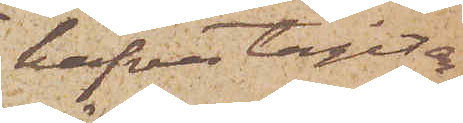hafva tagit an¬
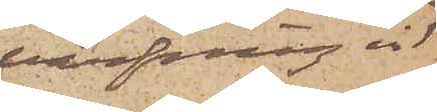värfning vid
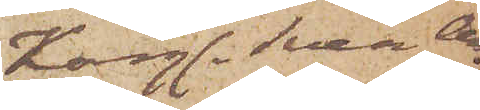Kongl. Svea Ar¬
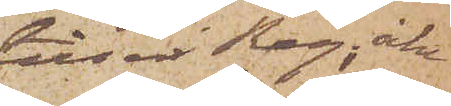tilleri Reg; åter
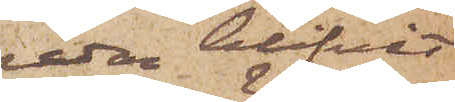redan blifvit
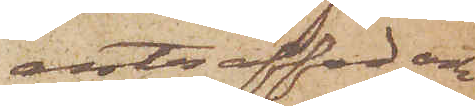anträffad och
